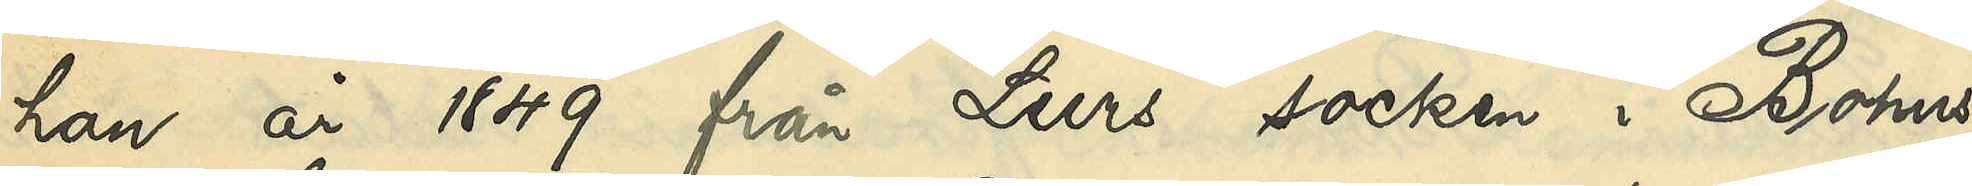han år 1849 från Lurs socken i Bohus
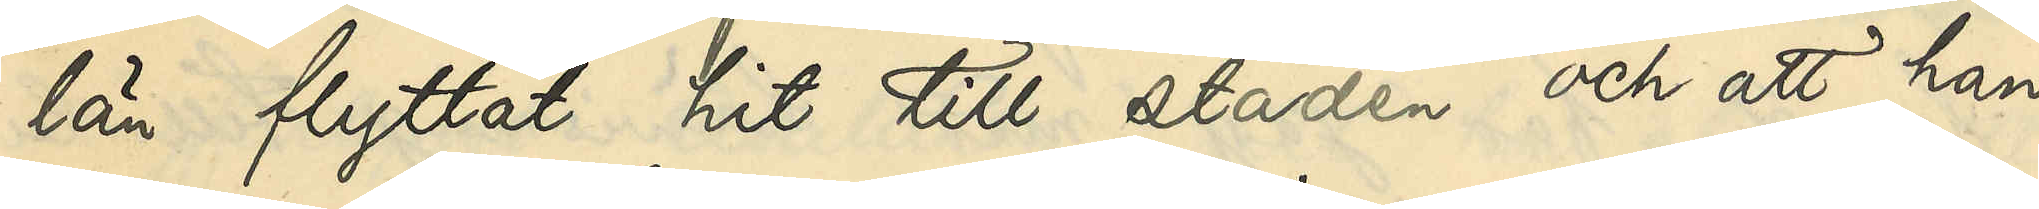län flyttat hit till staden och att han
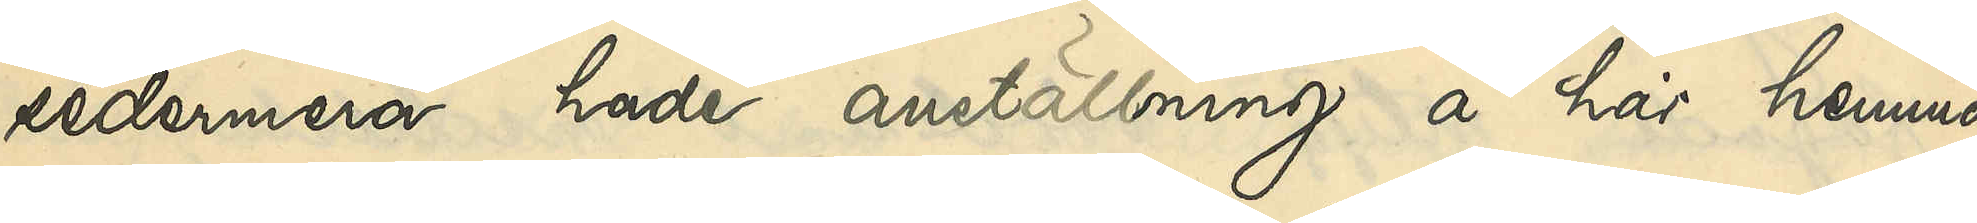sedermera hade anställning å här hemma¬
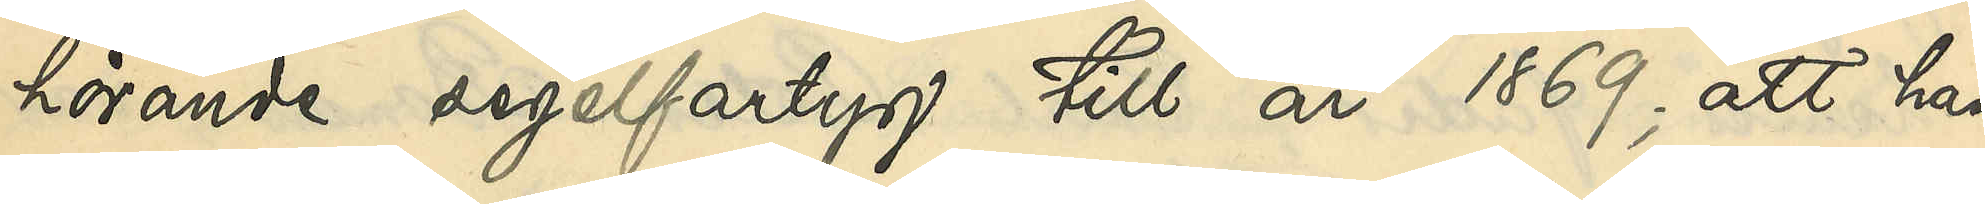hörande segelfartyg till år 1869; att han
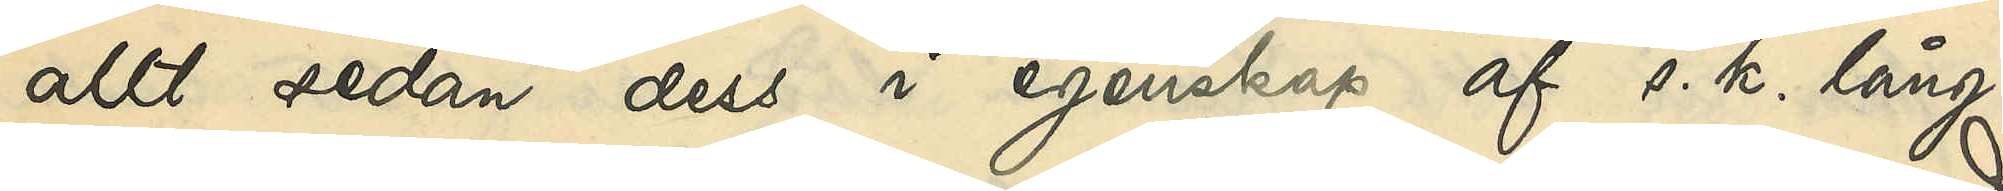allt sedan dess i egenskap af s. k. lång¬
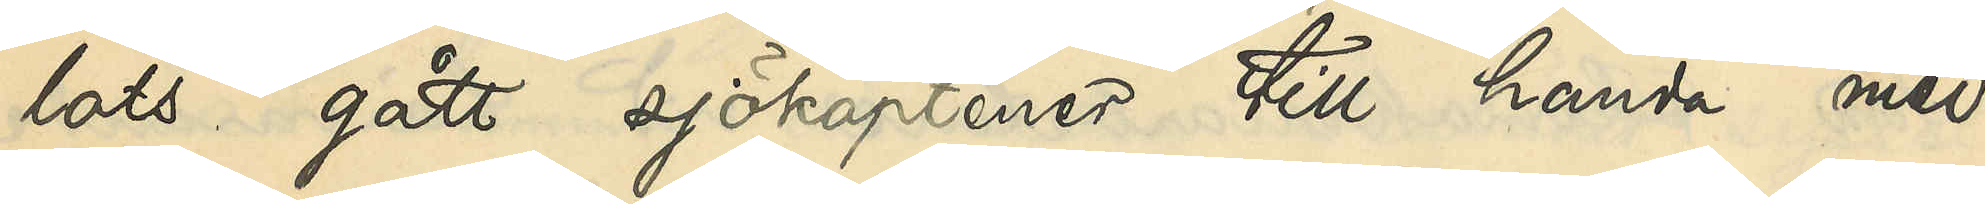lots gått sjökaptener till handa med
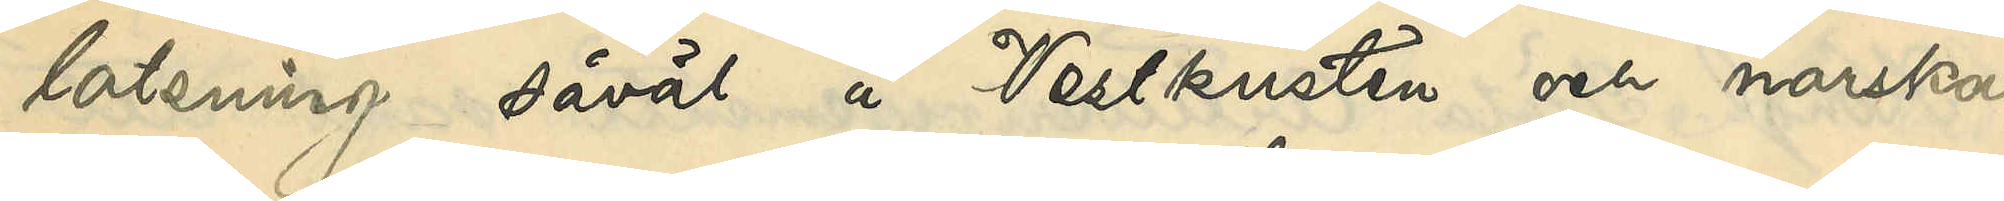lotsning såväl å Vestkusten och norska
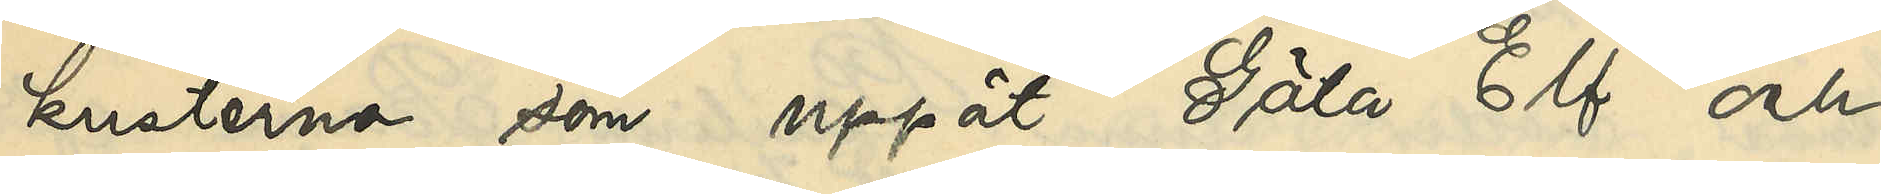kusterna som uppåt Göta Elf och
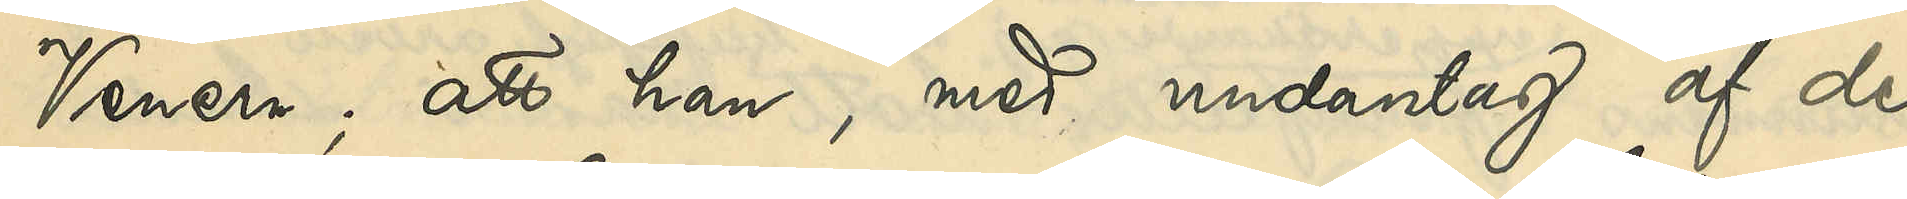Venern; att han, med undantag af de
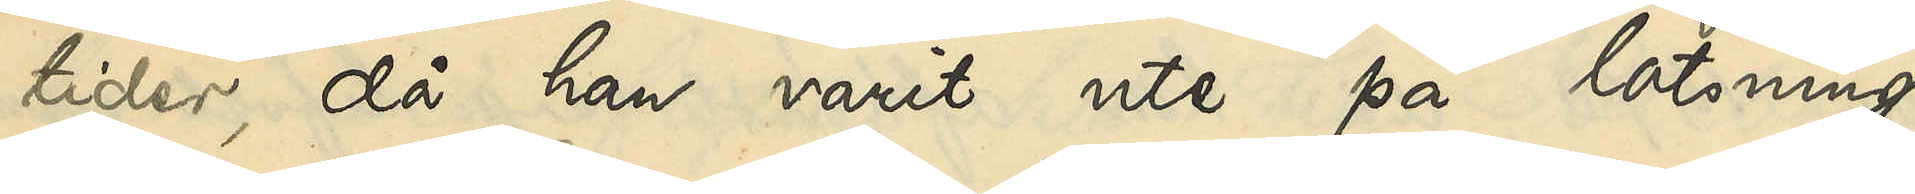tider, då han varit ute på lotsning,
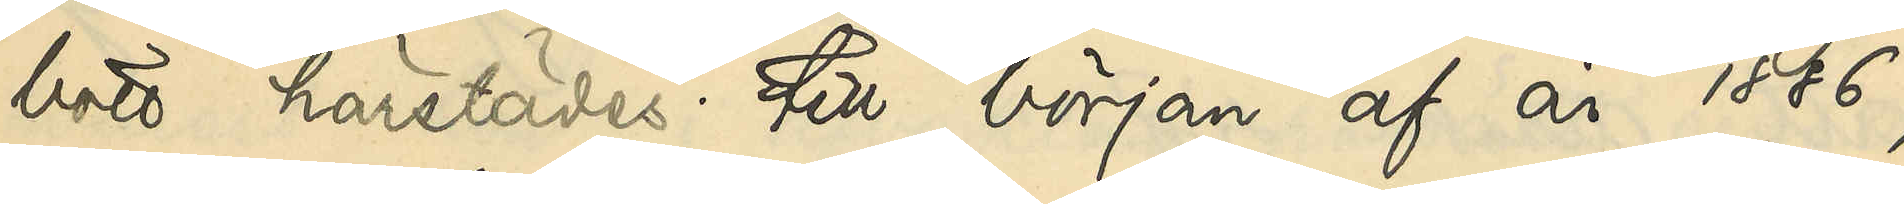bott härstädes till början af år 1886,
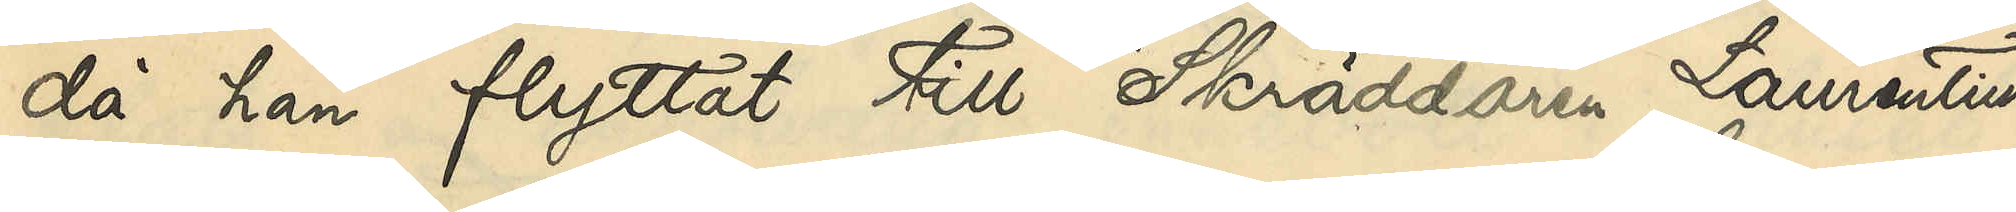då han flyttat till Skräddaren Laurentius
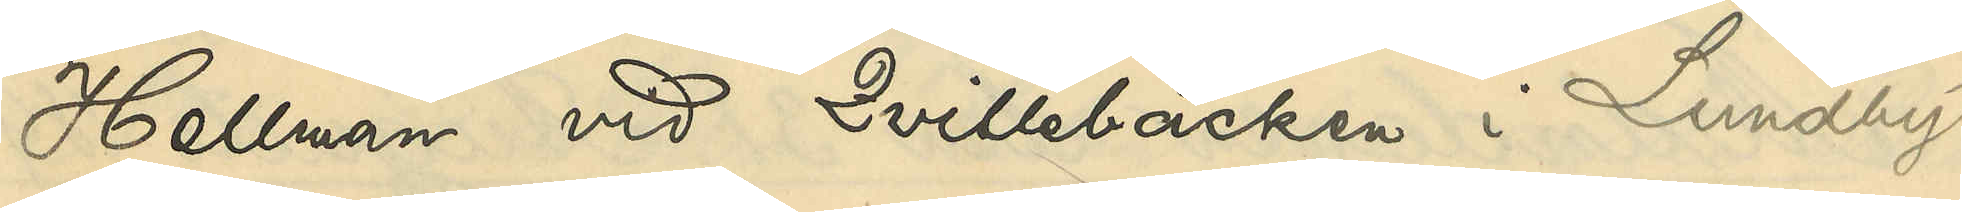Hellman vid Qvillebäcken i Lundby
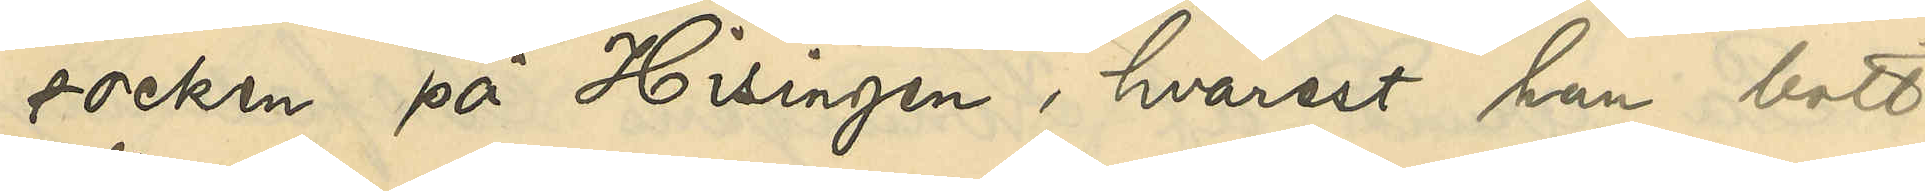socken på Hisingen, hvarest han bott
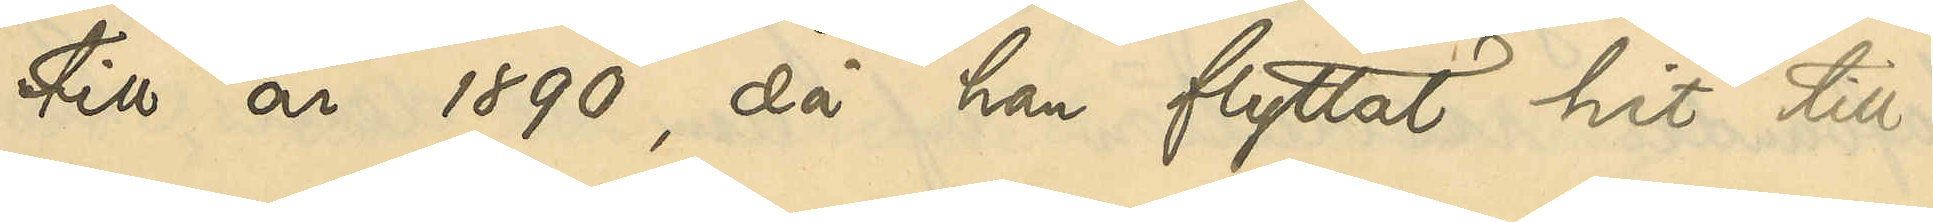till år 1890, då han flyttat hit till
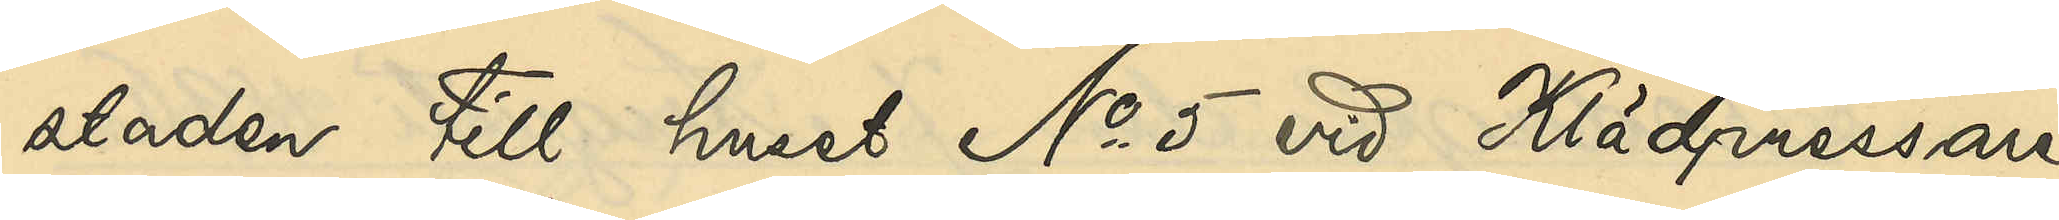staden till huset No 5 vid Klädpressare¬
